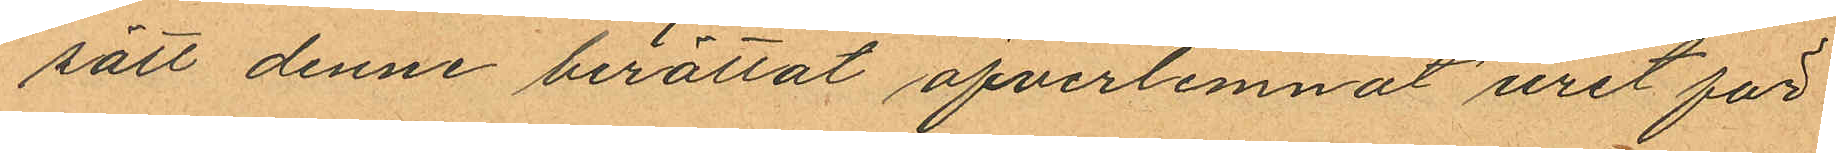sätt denne berättat öfverlemnat uret för
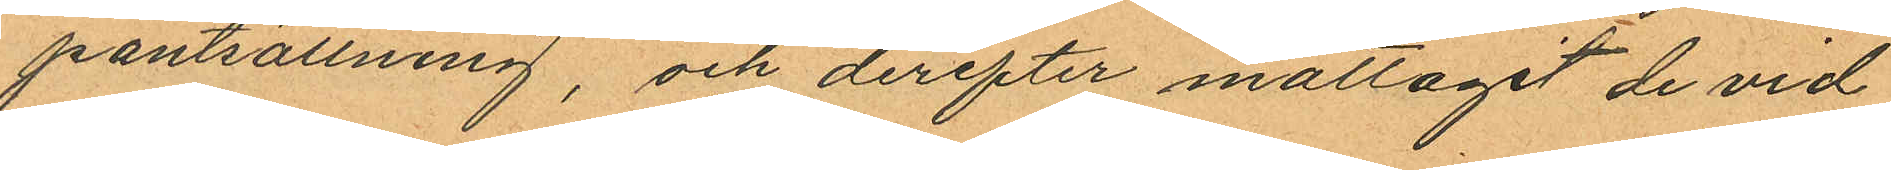pantsättning, och derefter mottagit de vid
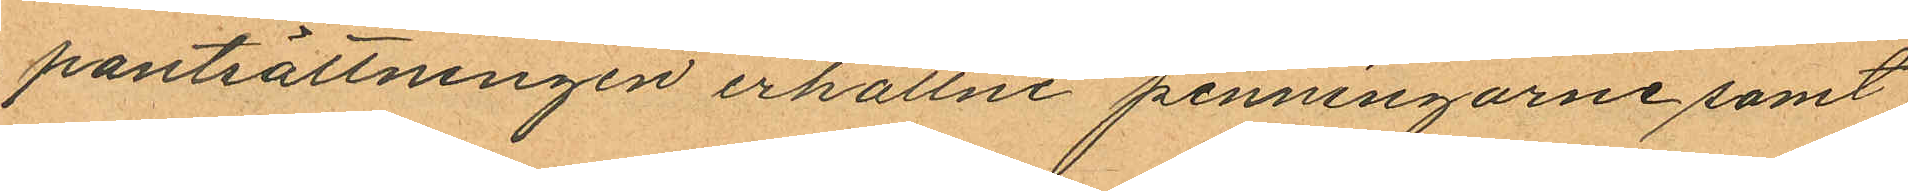pantsättningen erhållne penningarne samt
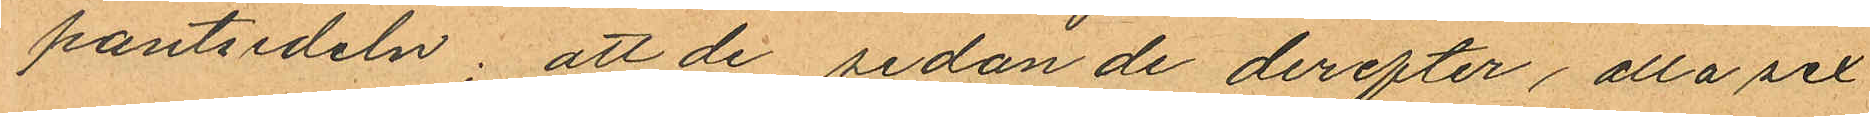pantsedeln; att de, sedan de derefter alla sex
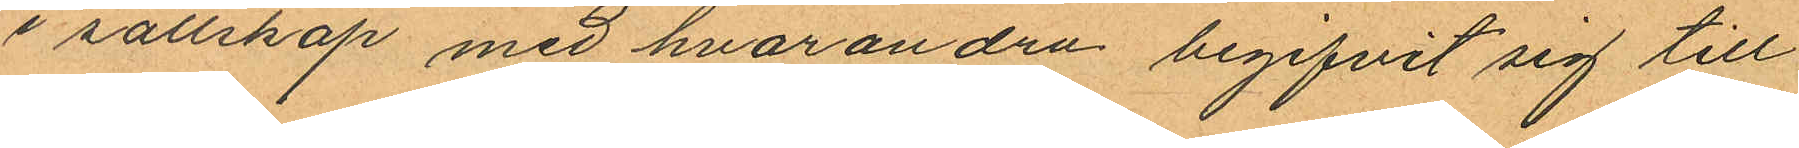i sällskap med hvarandra begifvit sig till
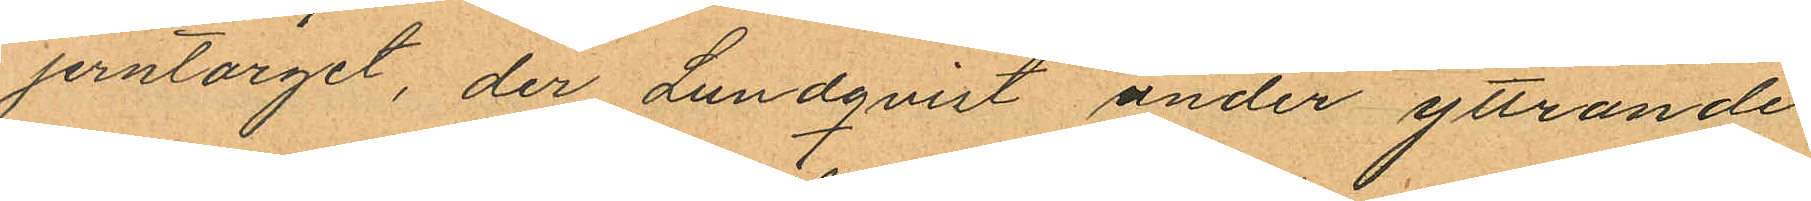Jerntorget, der Lundqvist under yttrande
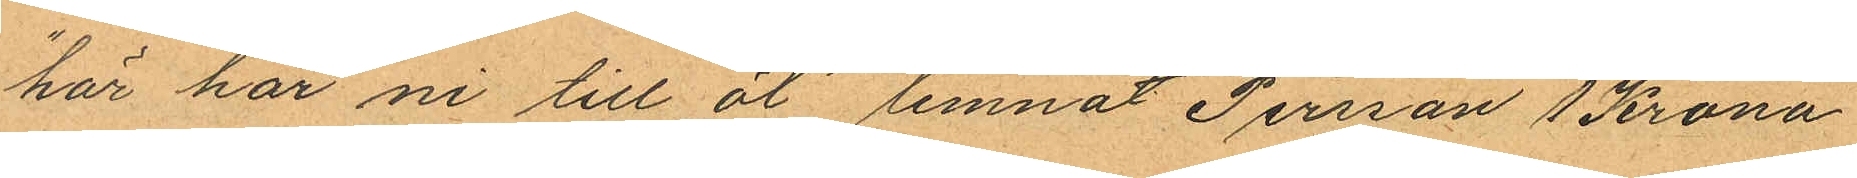"här har ni till öl" lemnat Persson 1 Krona
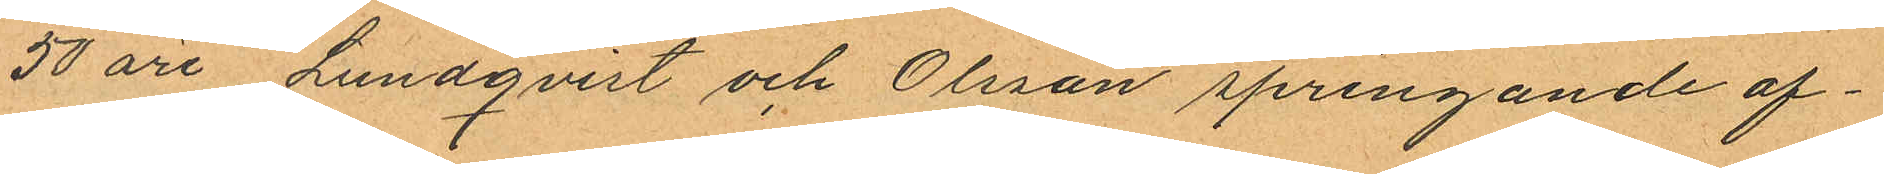50 öre Lundqvist och Olsson springande af¬
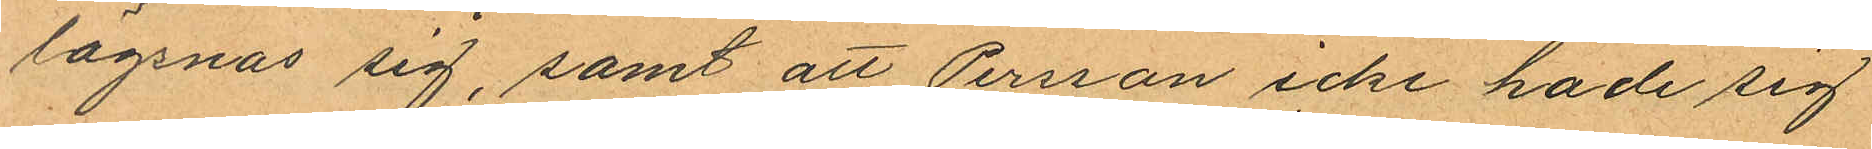lägsnas sig, samt att Persson icke hade sig
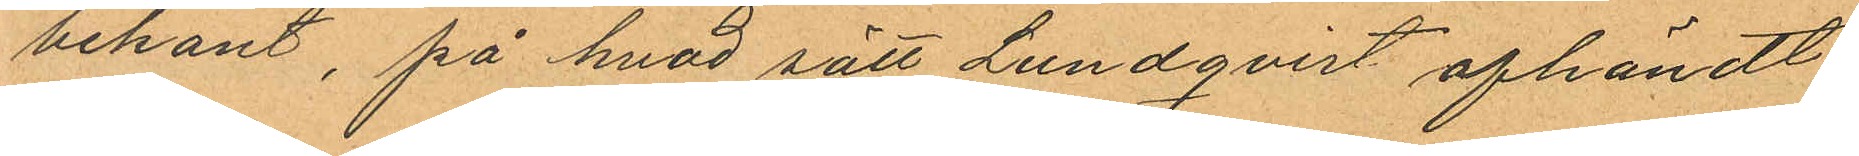bekant, på hvad sätt Lundqvist afhändt
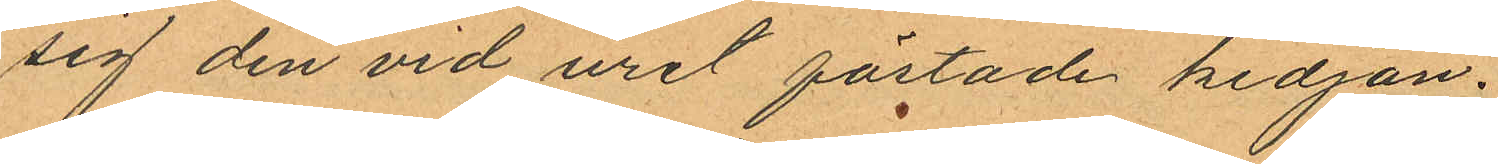sig den vid uret fästade kedjan.
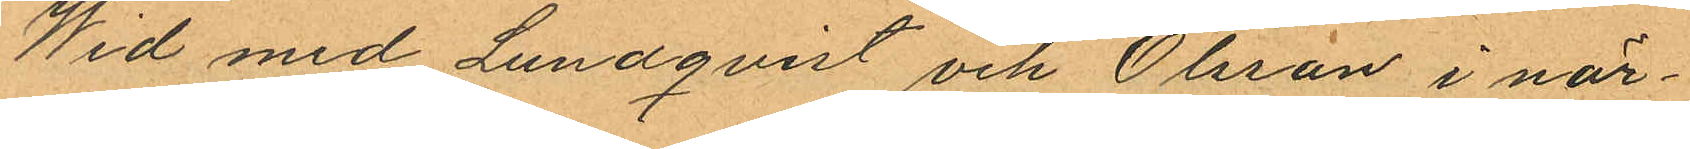Wid med Lundqvist och Olsson i när¬
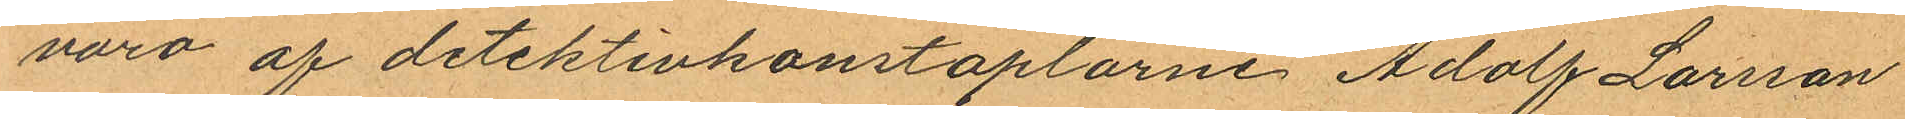varo af detektivkonstaplarne Adolf Larsson
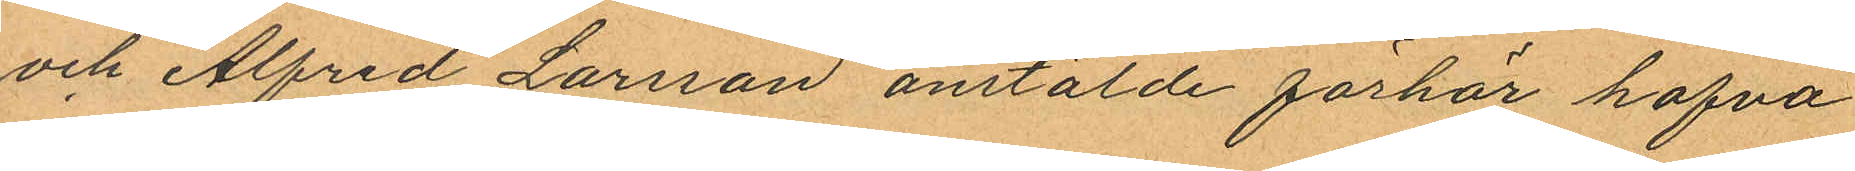och Alfred Larsson anstälde förhör hafva
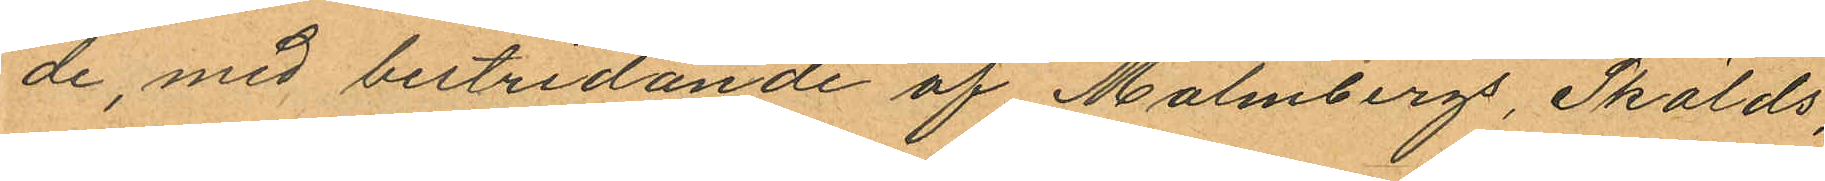de, med bestridande af Malmbergs, Skölds,
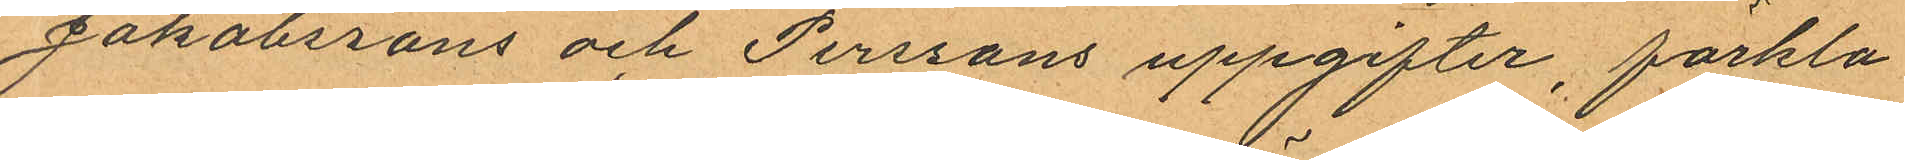Jakobssons och Perssons uppgifter, förkla¬
